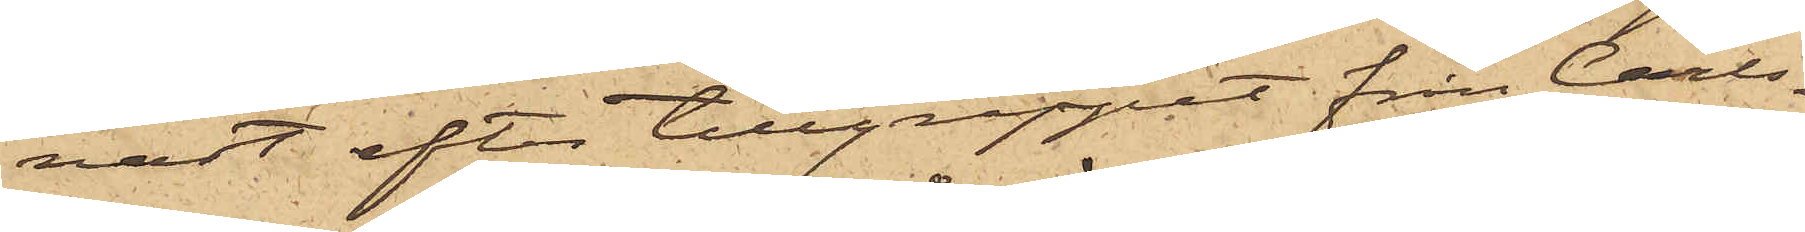nast efter tillgreppet från Carls¬
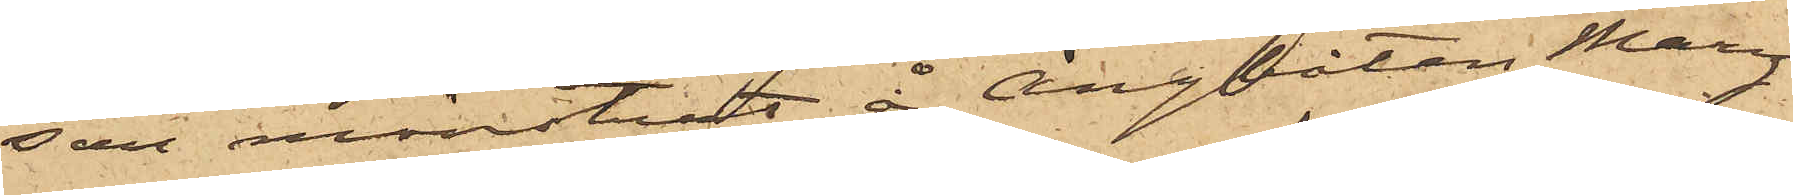son mönstrat å Ångbåten Mary
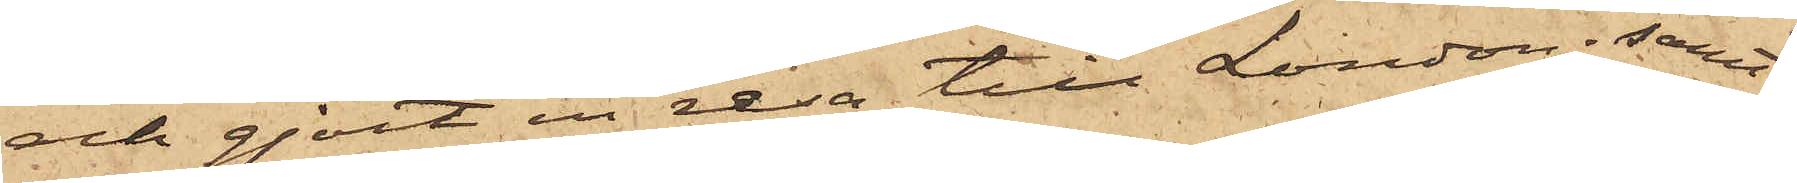och gjort en resa till London; samt
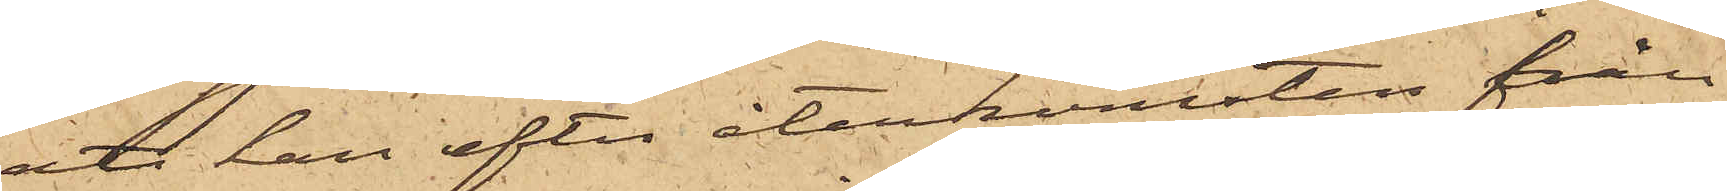att han efter återkomsten från
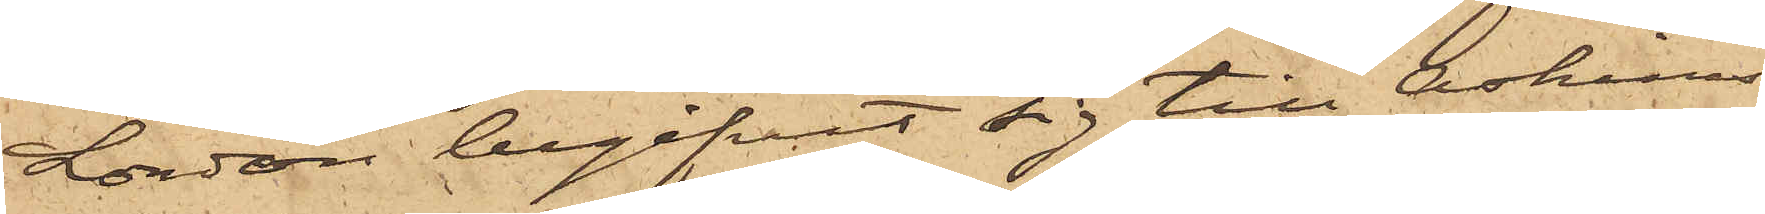London begifvit sig till Askims
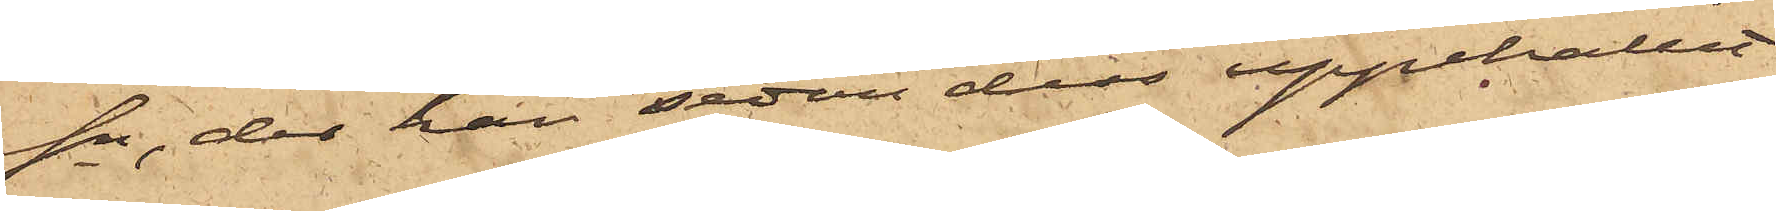sn, der han sedan dess uppehållit
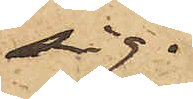sig.
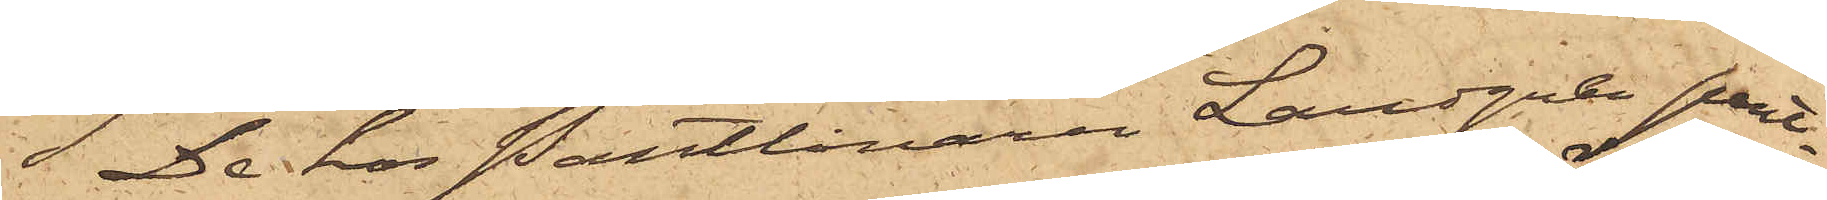De hos Pantlånaren Landgren pant¬
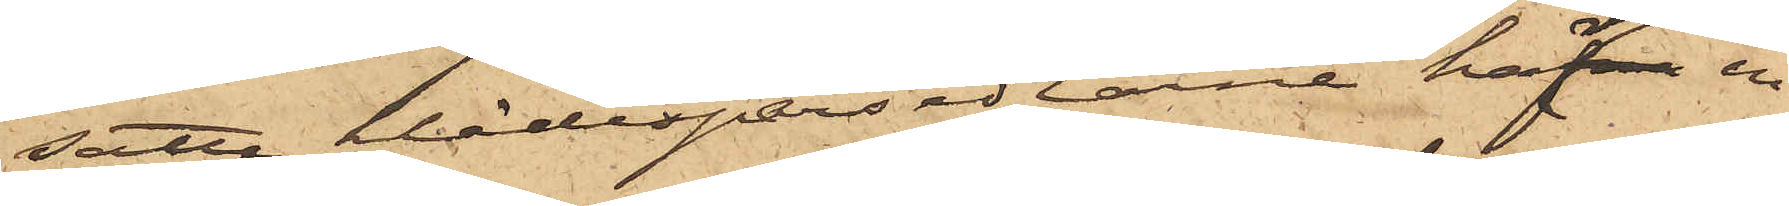satte klädespersedlarne hafva en
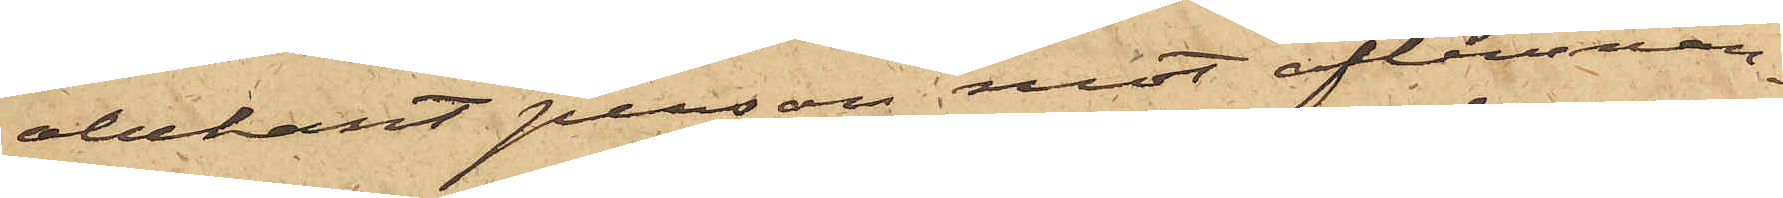obekant person mot aflemnan¬
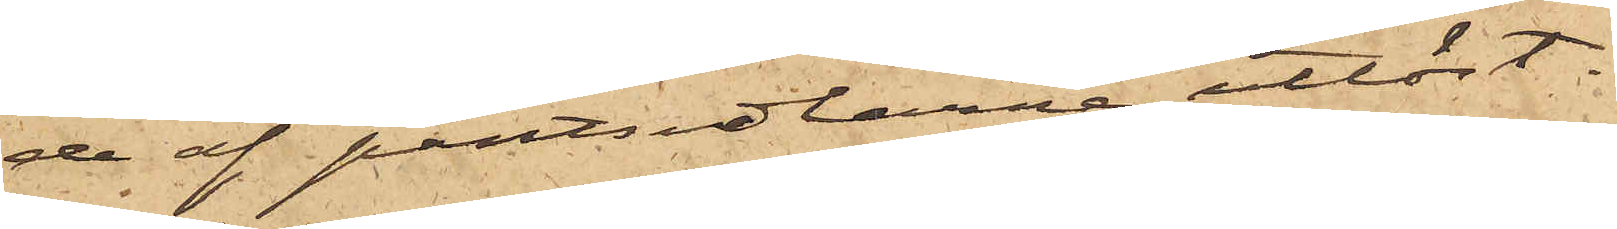de af pantsedlarne utlöst.
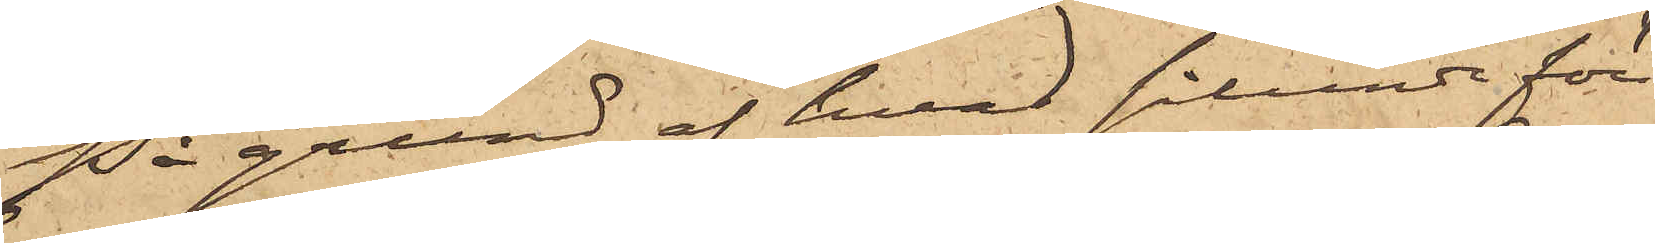På grund af hvad sålunda före¬
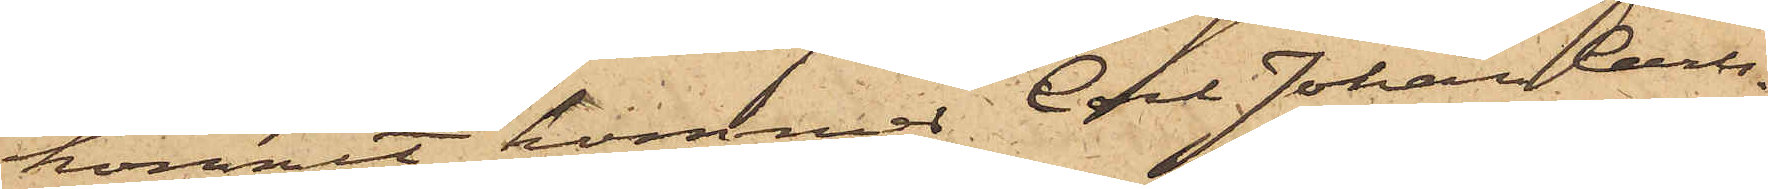kommit, kommer Carl Johan Carls¬
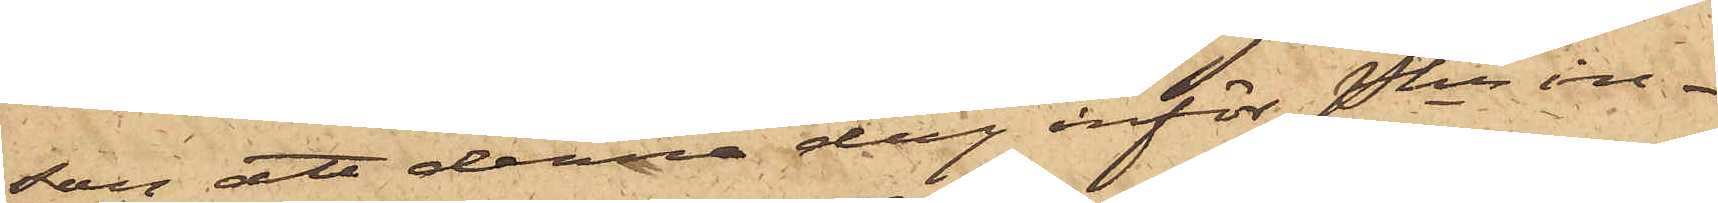son att denna dag inför Pkn in¬
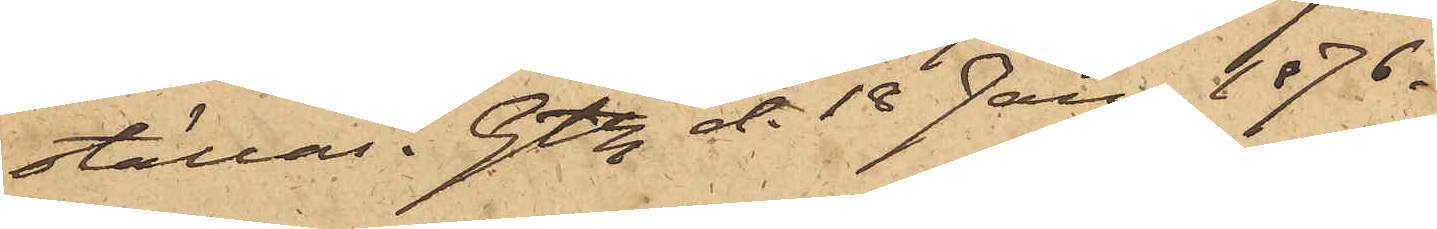ställas. Gtbg d. 18 Jan. 1876.
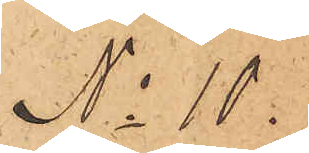No 10
